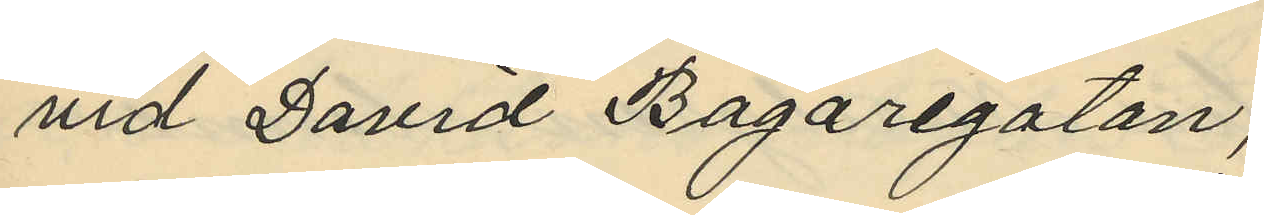vid David Bagaregatan;
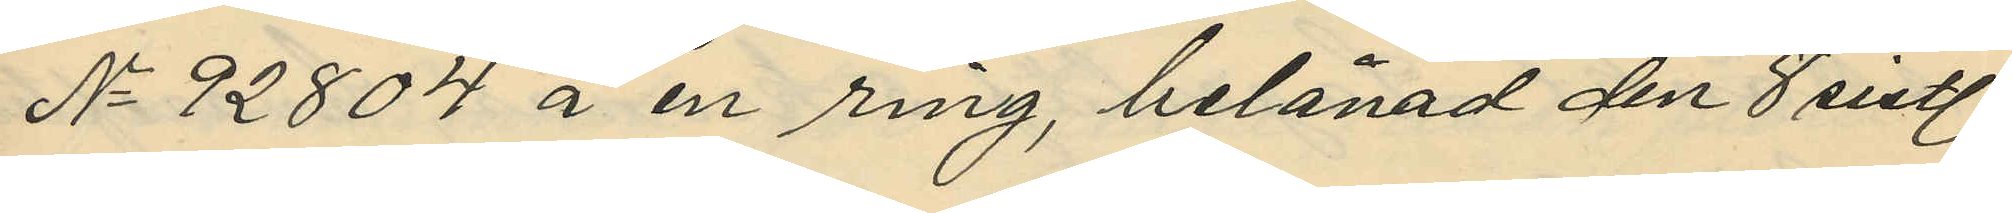No 92804 å en ring, belånad den 8 sistl.
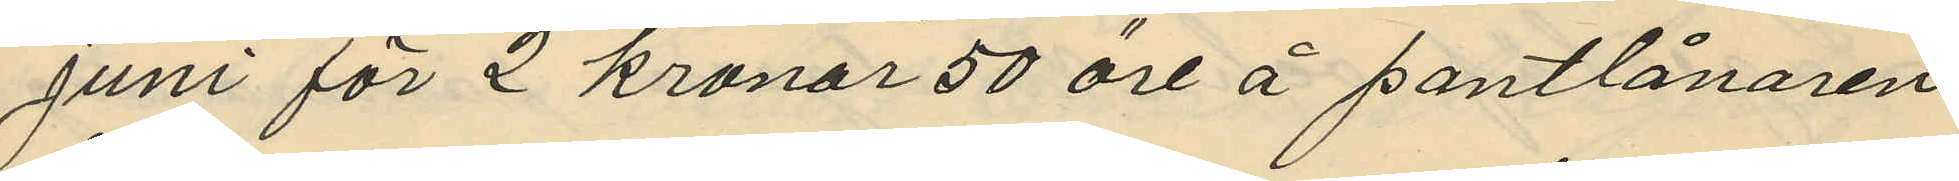juni för 2 kronor 50 öre å pantlånaren
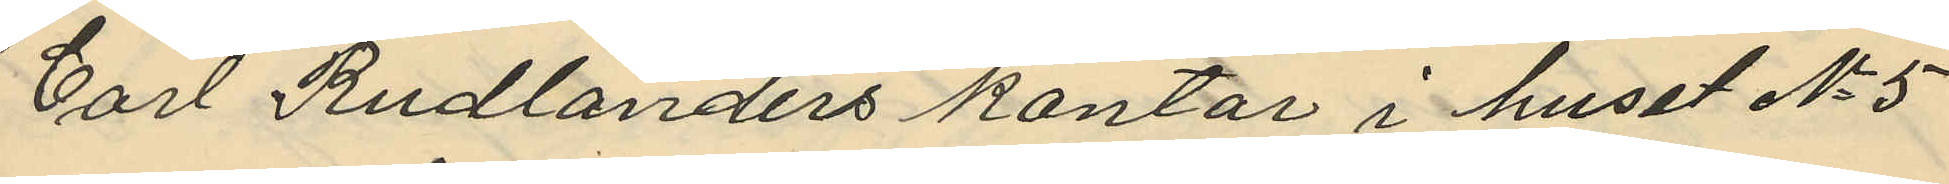Carl Rudlanders kontor i huset No 5
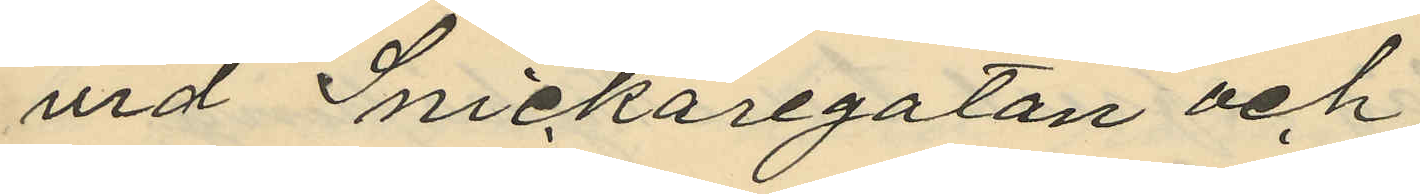vid Snickaregatan och
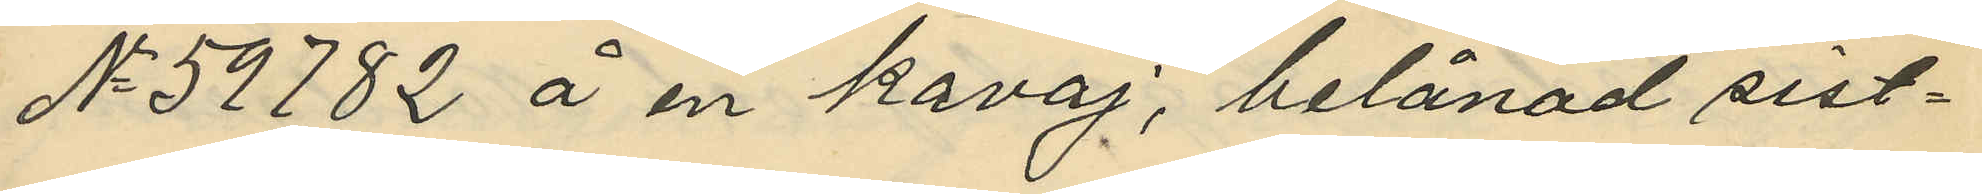No 59782 å en kavaj, belånad sist¬
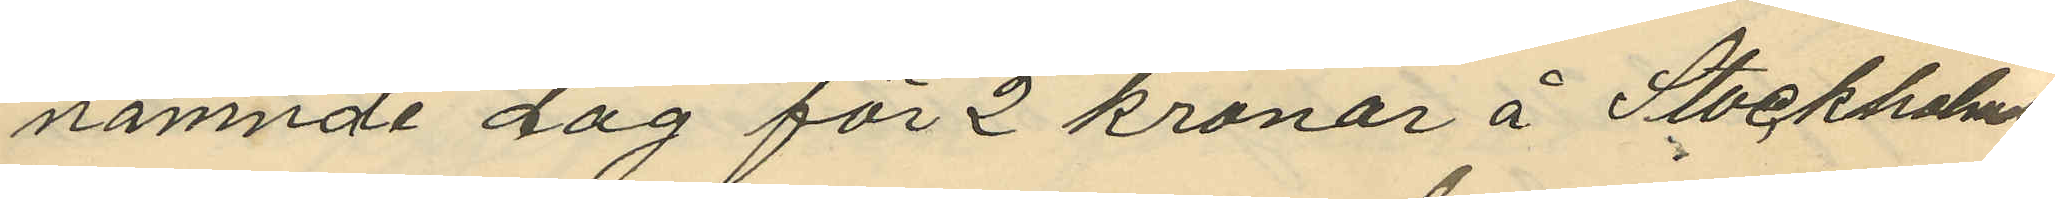nämnde dag för 2 kronor å Stockholms
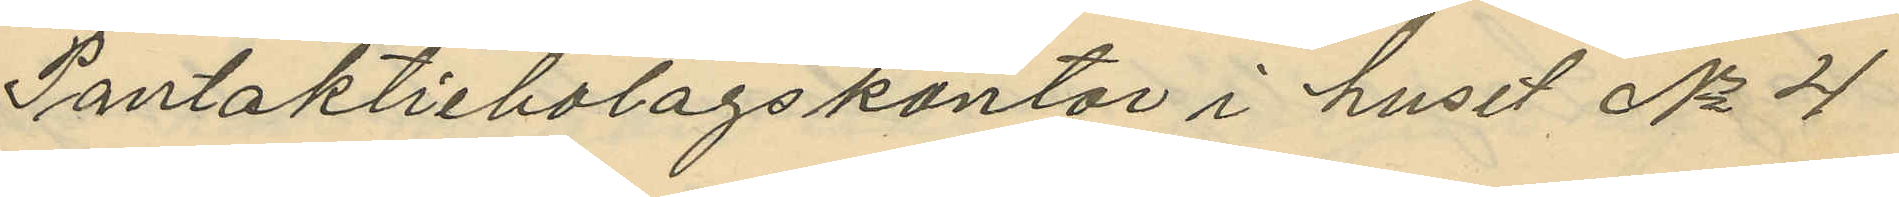Pantaktiebolagskontor i huset No 4
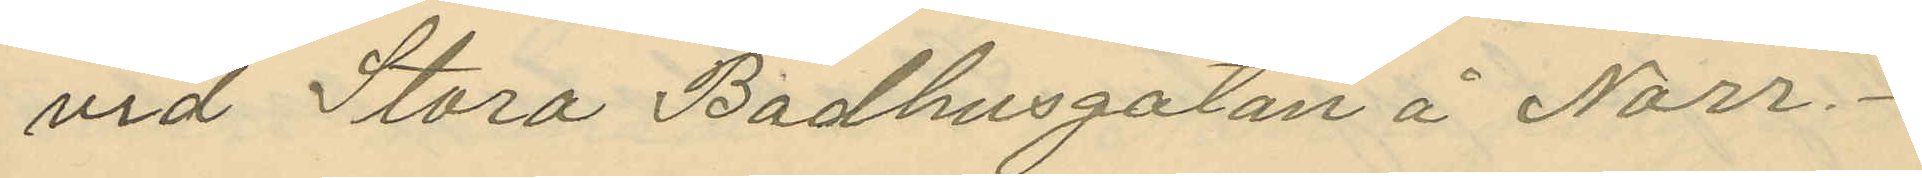vid Stora Badhusgatan å Norr.
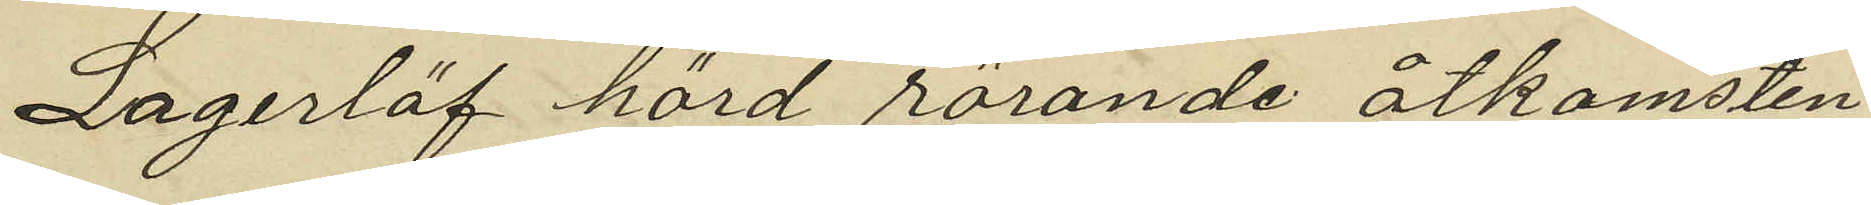Lagerlöf hörd rörande åtkomsten
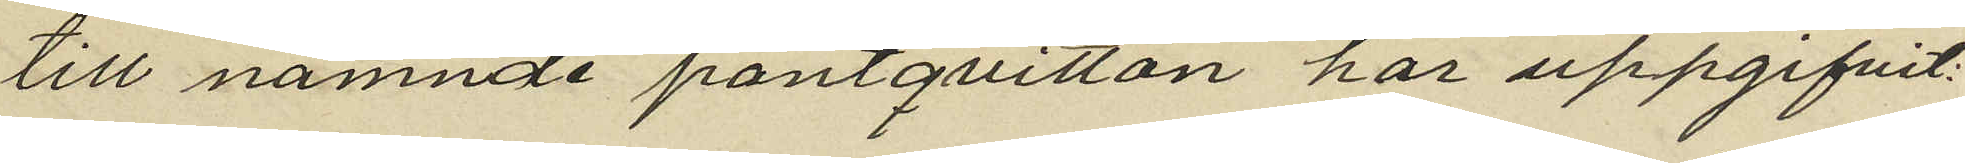till nämnde pantqvitton har uppgifvit:
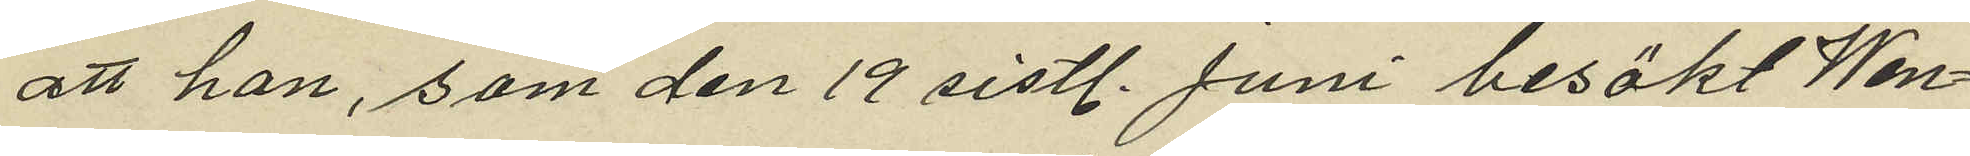att han, som den 19 sistl. Juni besökt Wen¬
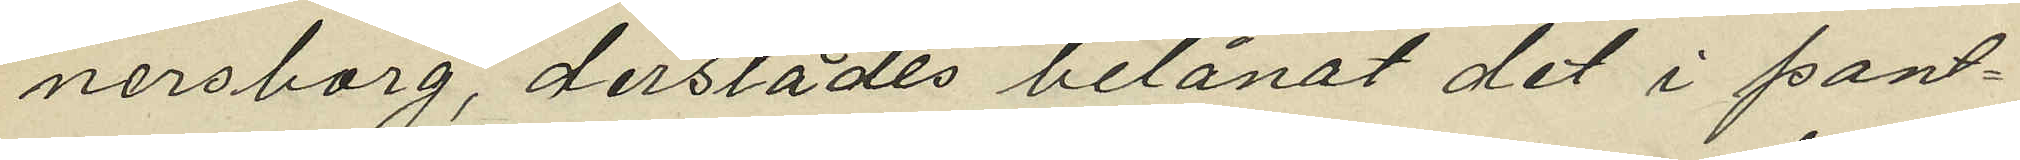nersborg, derstädes belånat det i pant¬
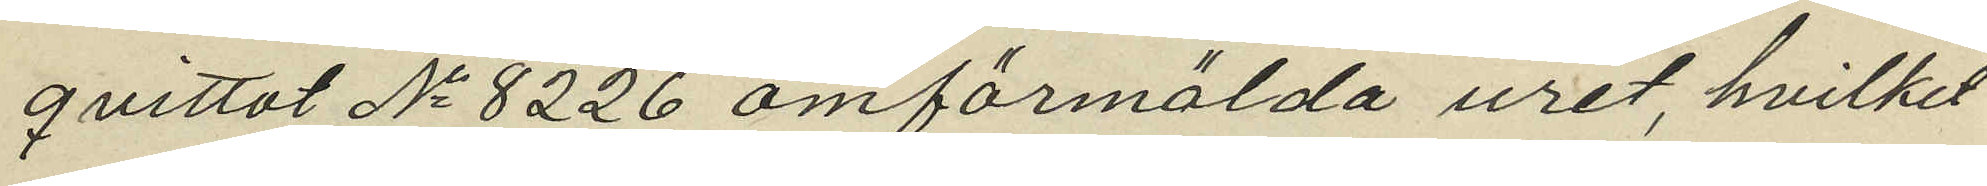qvittot No 8226 omförmälda uret hvilket
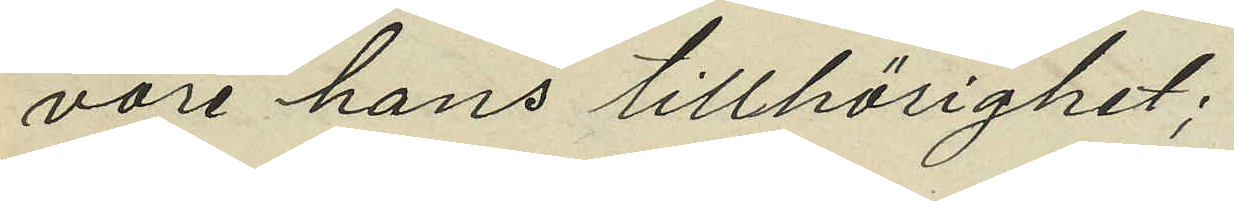vore hans tillhörighet;
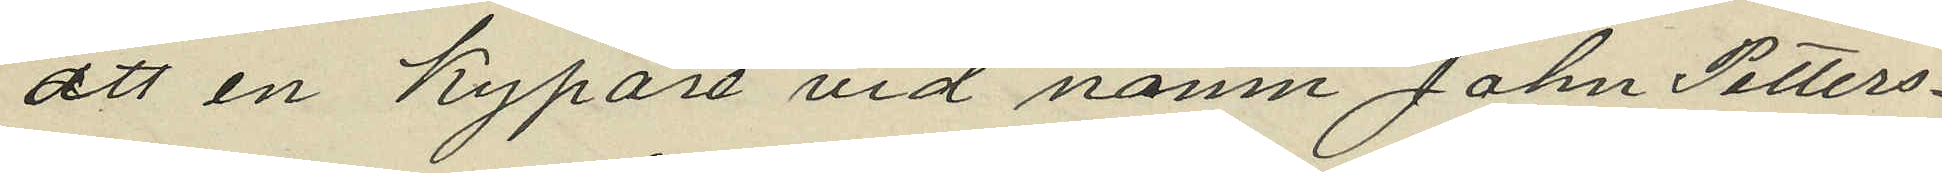att en Kypare vid namn John Petters¬
